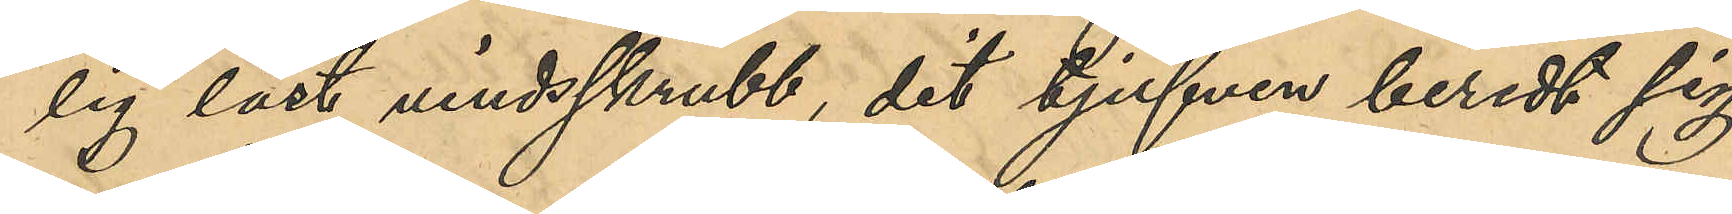lig låst vindsskrubb, dit tjufven beredt sig
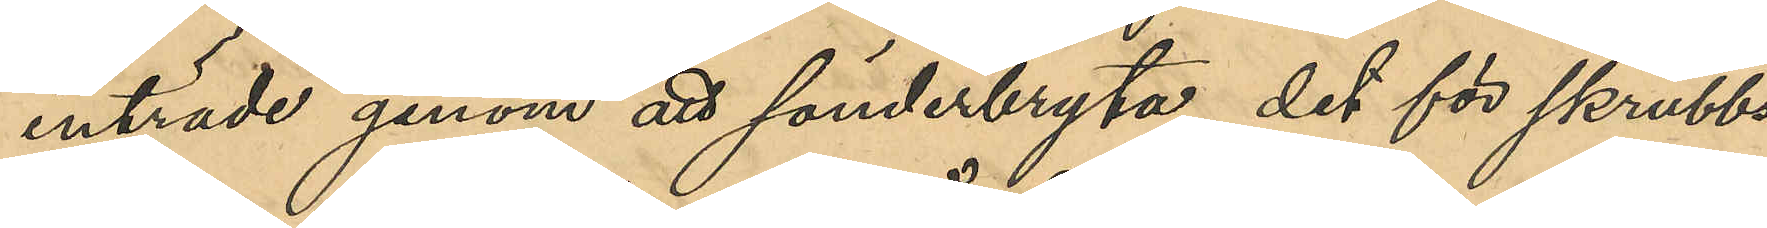inträde genom att sönderbryta det för skrubbs¬
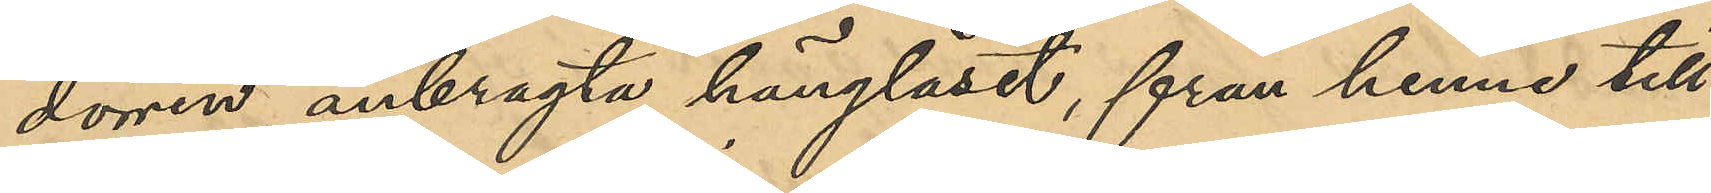dörren anbragta hänglåset, från henne till¬
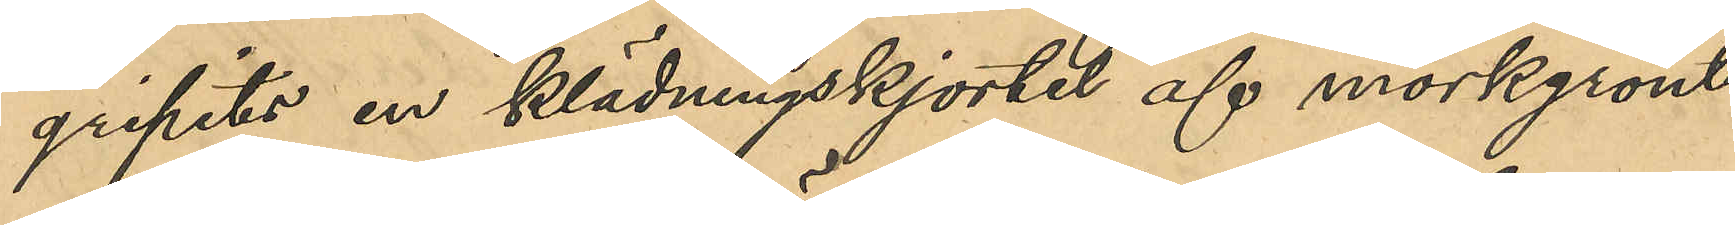gripits en klädningskjortel af mörkgrönt
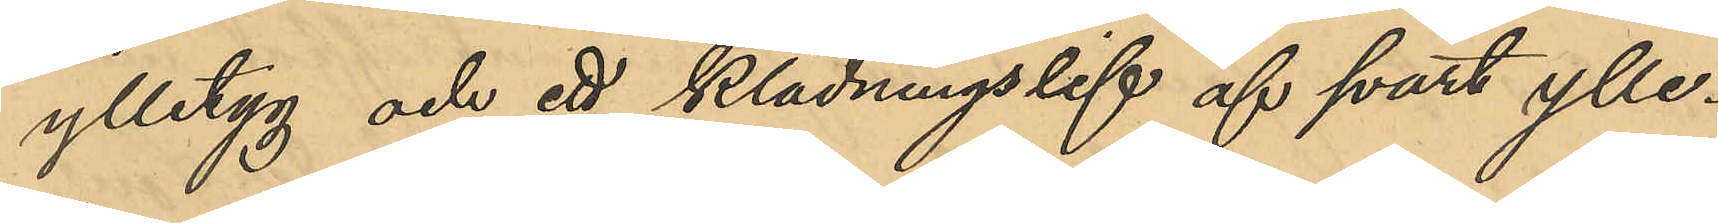ylletyg och ett klädningslif af svart ylle¬
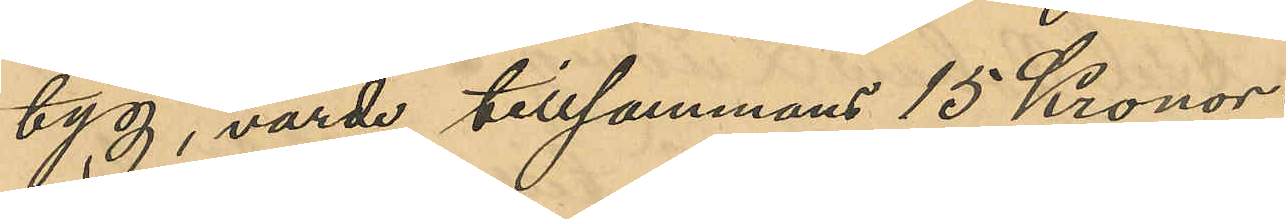tyg, värde tillsammans 15 Kronor
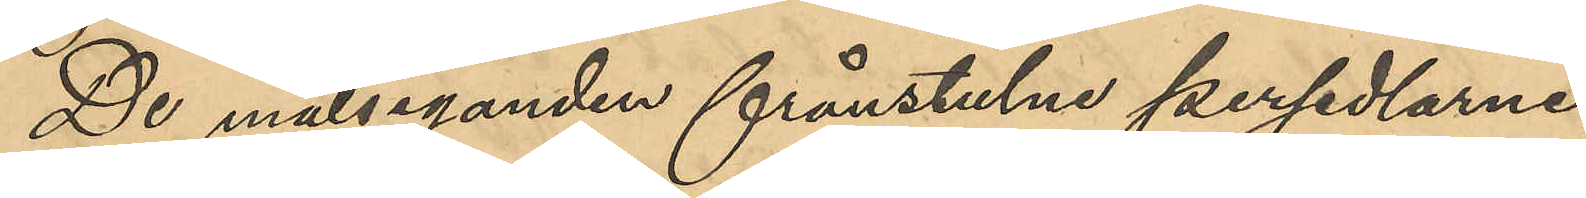De målseganden frånstulne persedlarna
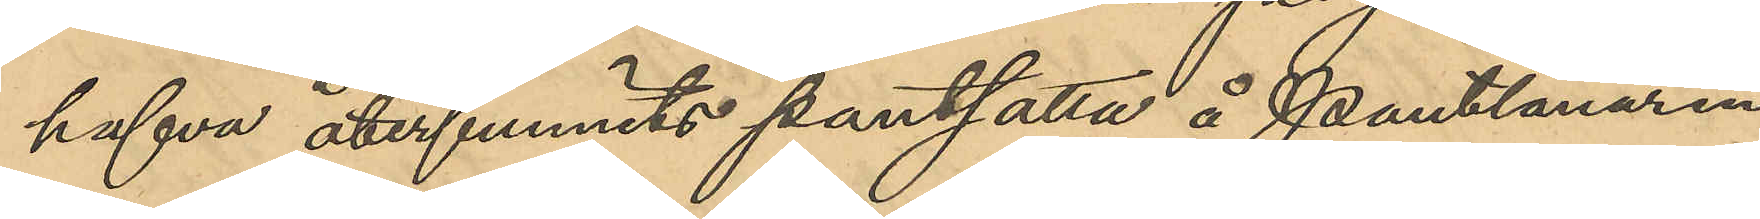hafva återfunnits pantsatta å Pantlånaren
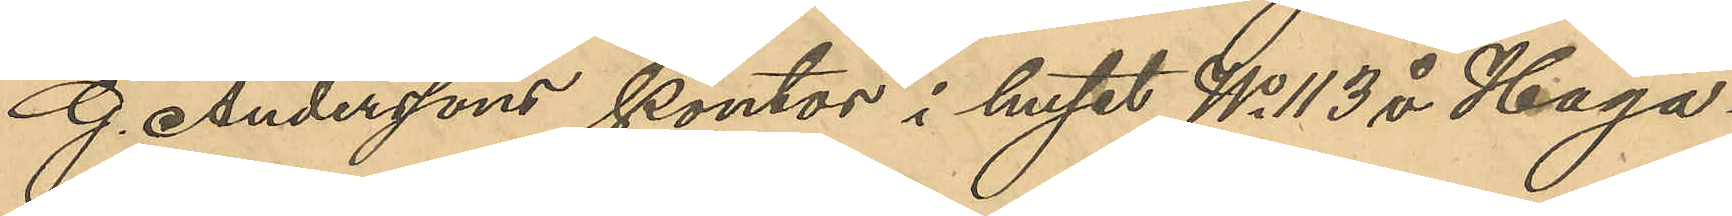G. Anderssons kontor i huset No 113 å Haga¬
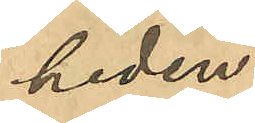heden.
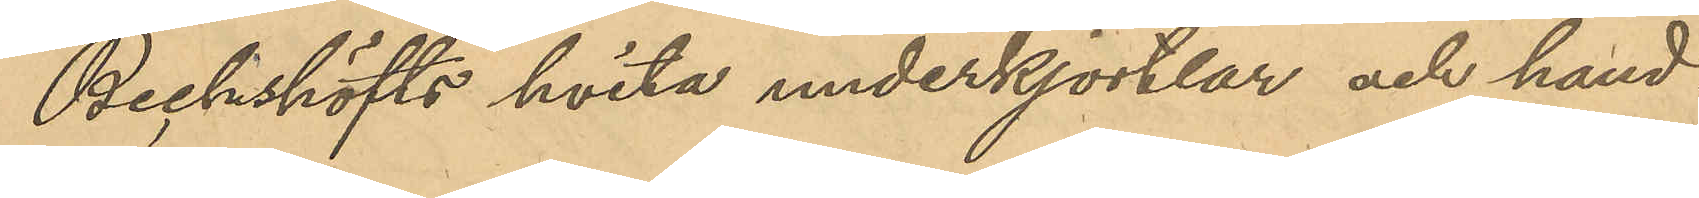Bechshöfts hvita underkjortlar och hand¬
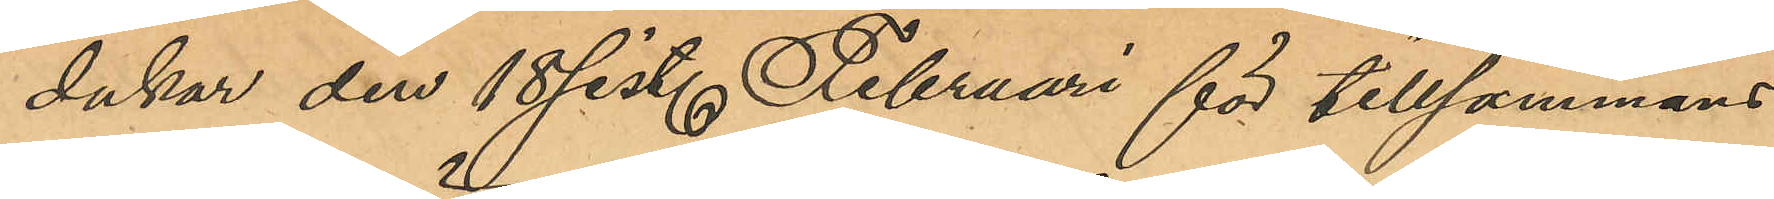dukar den 18 sist. Februari för tillsammans
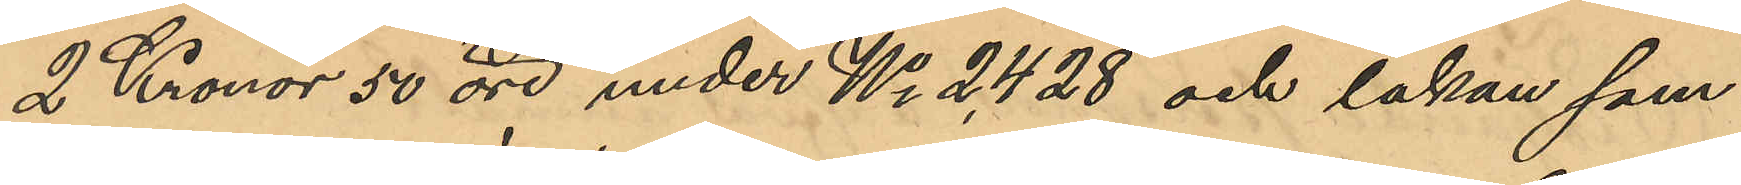2 Kronor 50 öre under No 2,428 och lakan sam¬
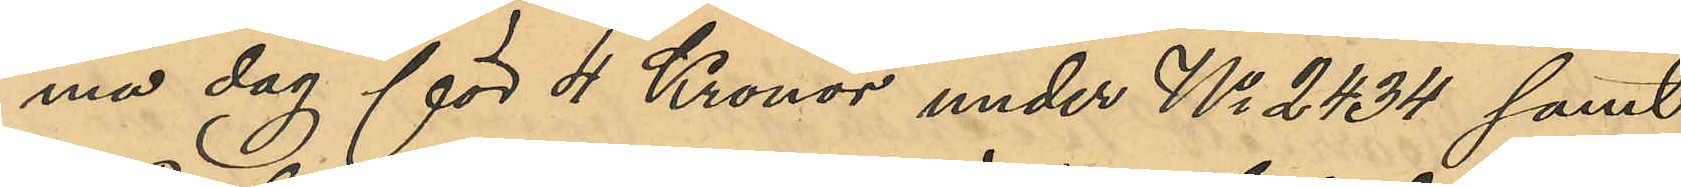ma dag för 4 Kronor under No 2434 samt
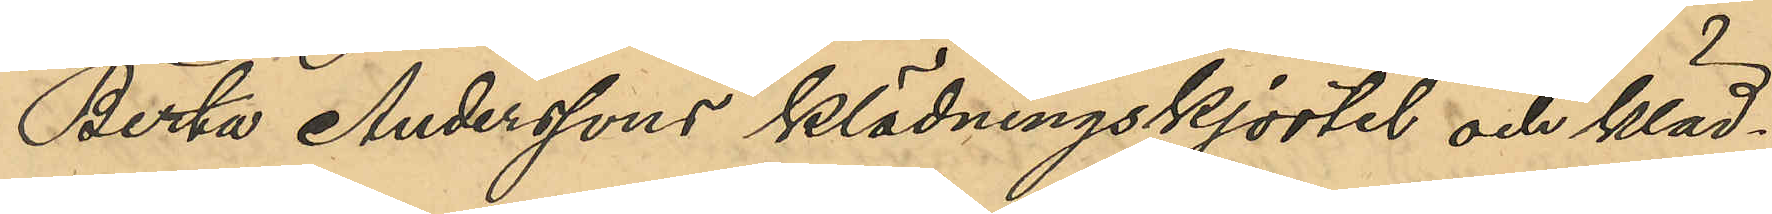Berta Anderssons klädningskjortel och kläd¬
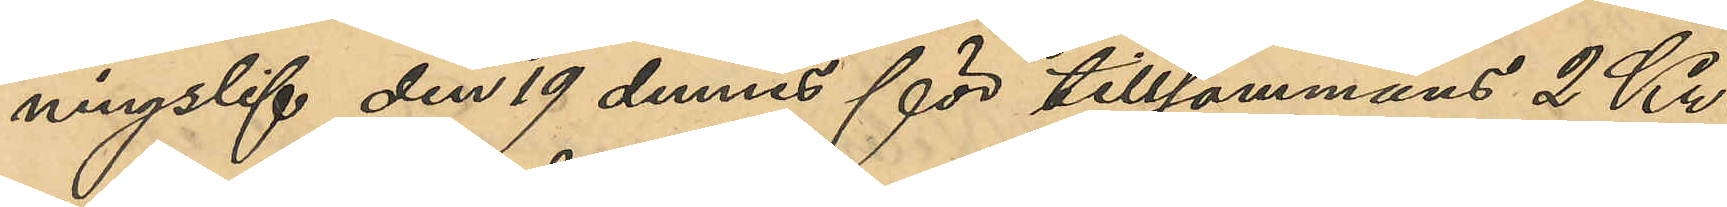ningslif den 19 dennes för tillsammans 2 Kr.
